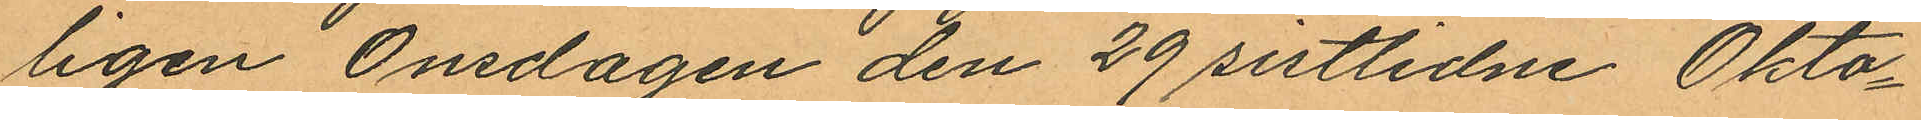ligen Onsdagen den 29 sistlidne Okto¬
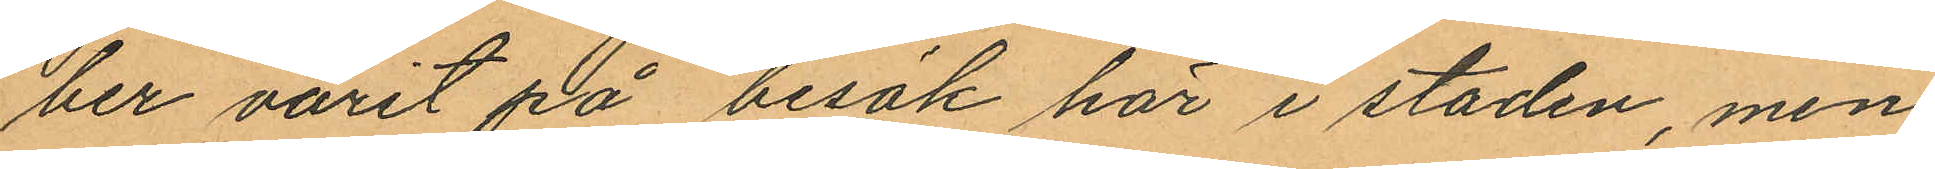ber varit på besök här i staden, men
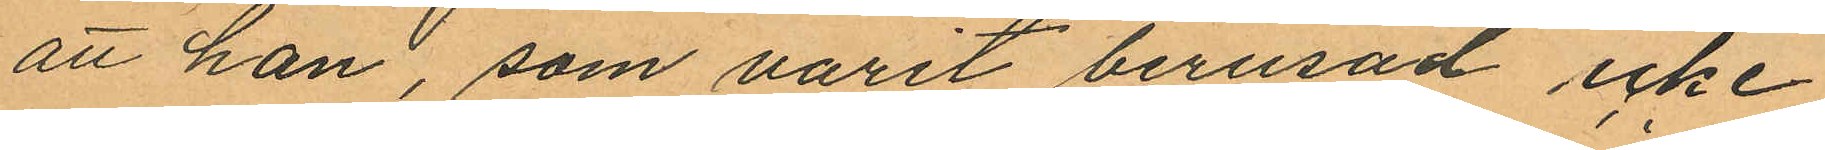att han, som varit berusad icke
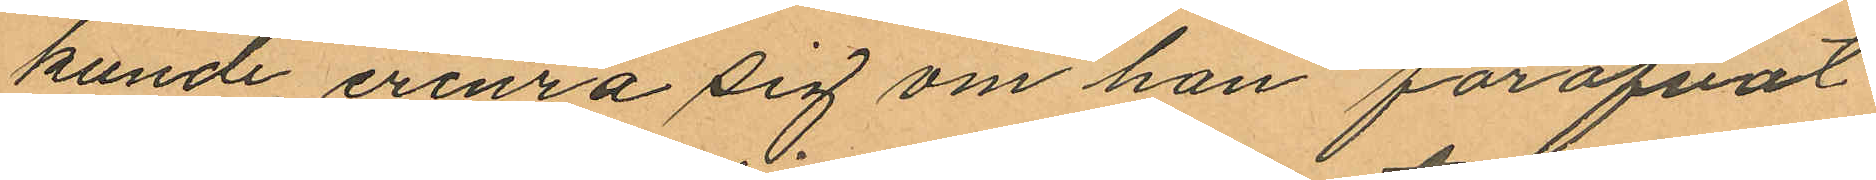kunde erinra sig om han föröfvat
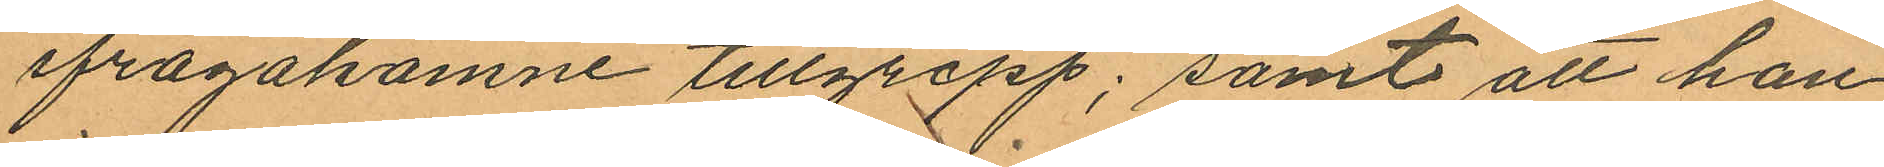ifrågakomne tillgrepp; samt att han
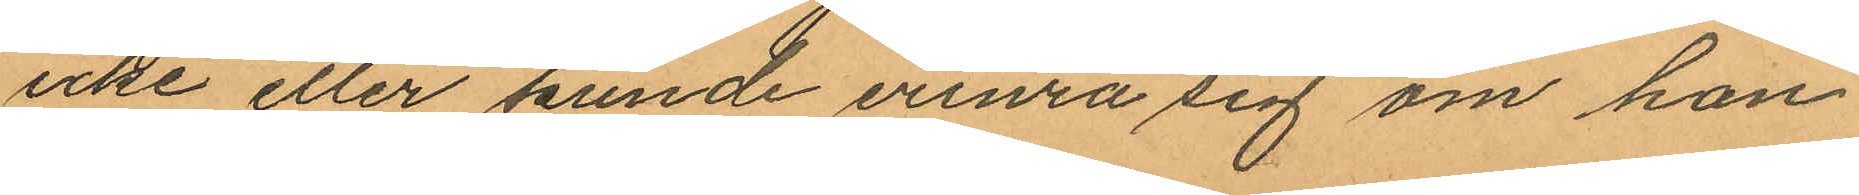icke eller kunde erinra sig om han
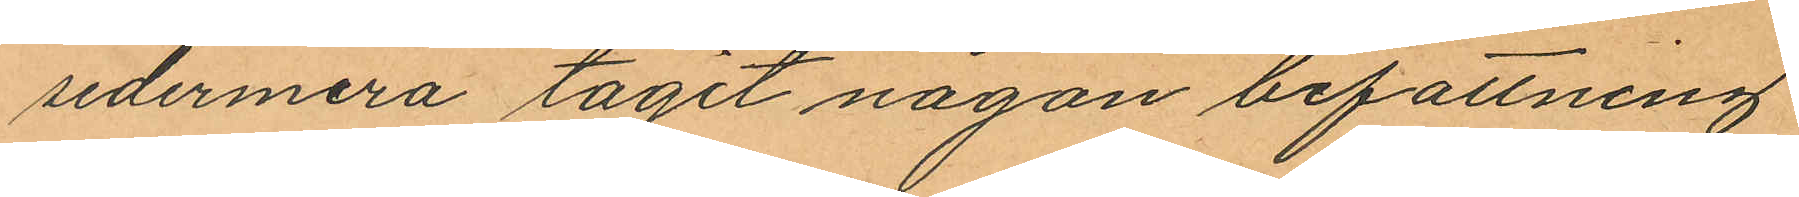sedermera tagit någon befattning
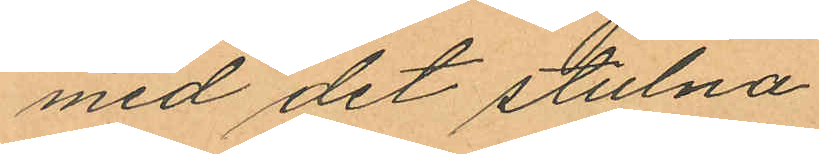med det stulna.
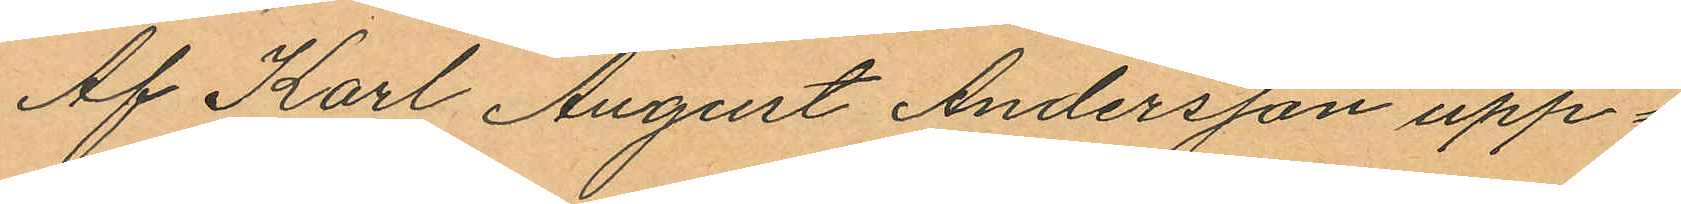Af Karl August Andersson upp¬
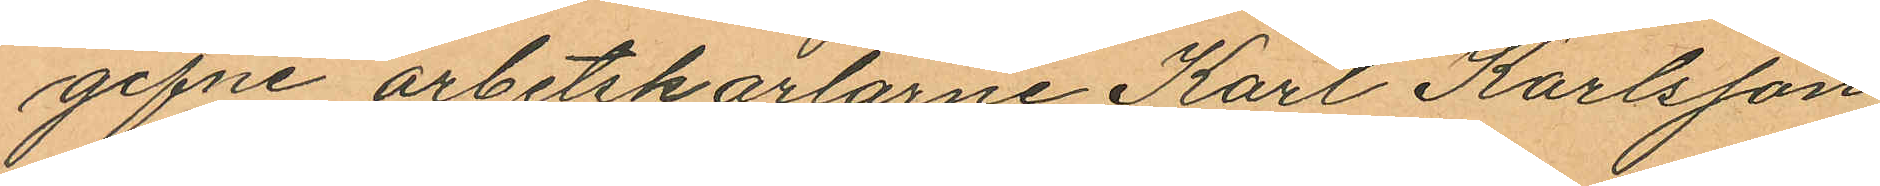gifne arbetskarlarne Karl Karlsson
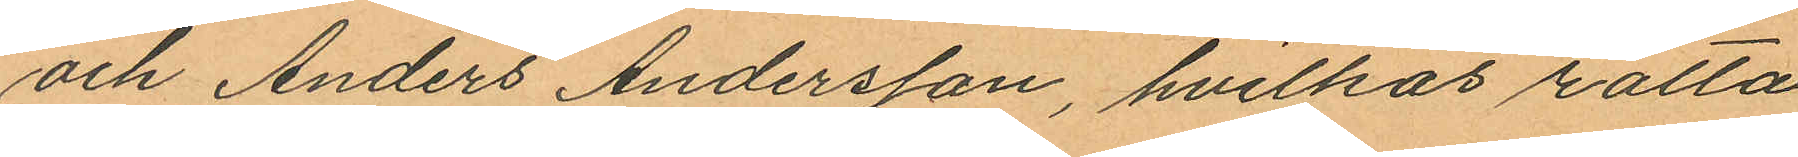och Anders Andersson, hvilkas rätta
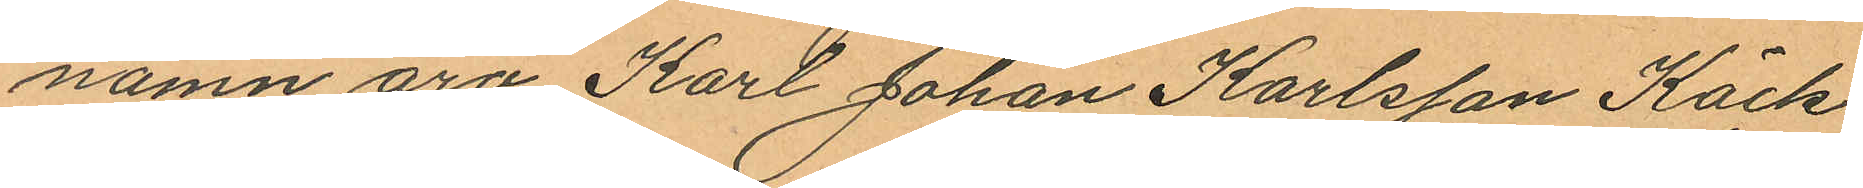namn äro Karl Johan Karlsson Käck
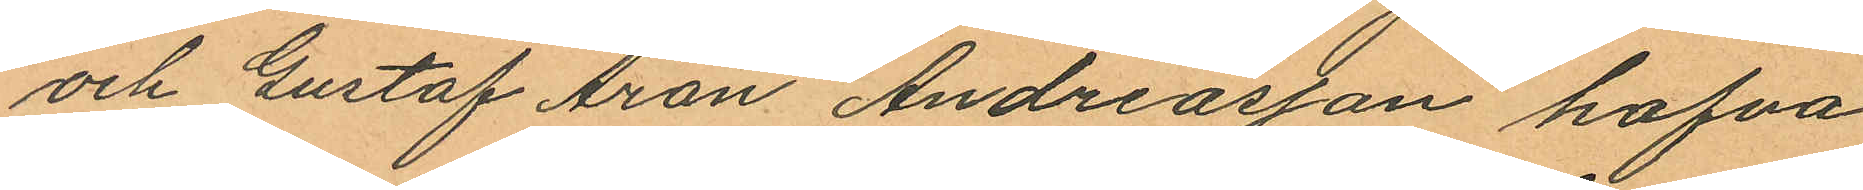och Gustaf Aron Andreasson hafva
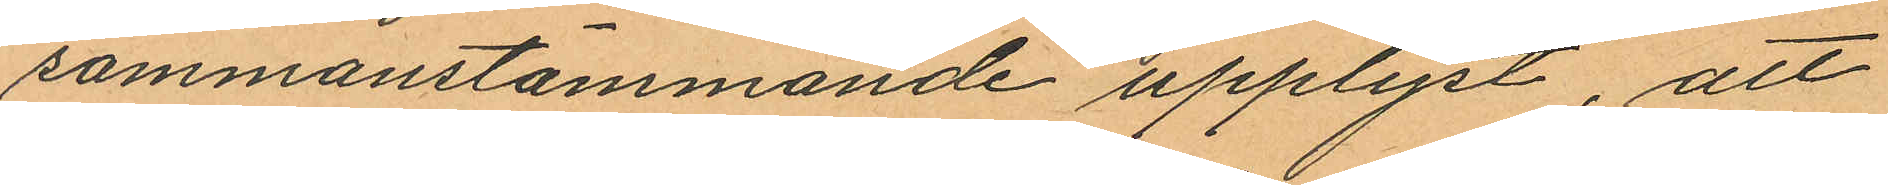sammanstämmande upplyst, att
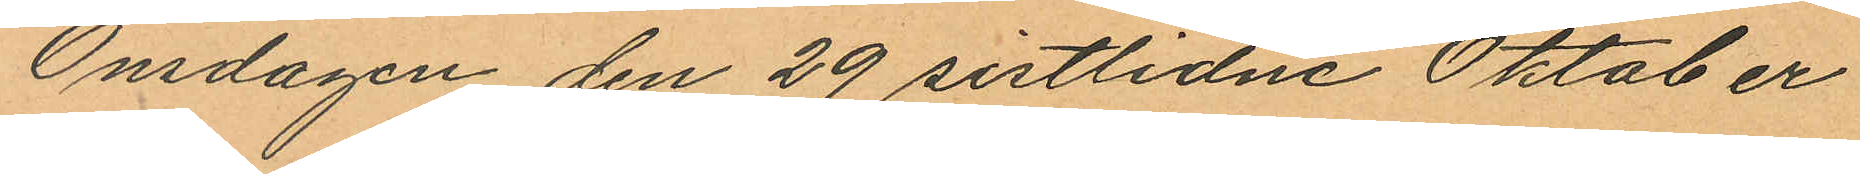Onsdagen den 29 sistlidne Oktober
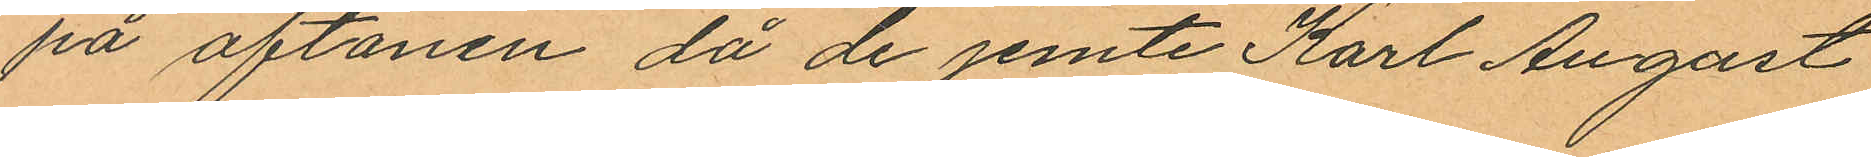på aftonen då de jemte Karl August
